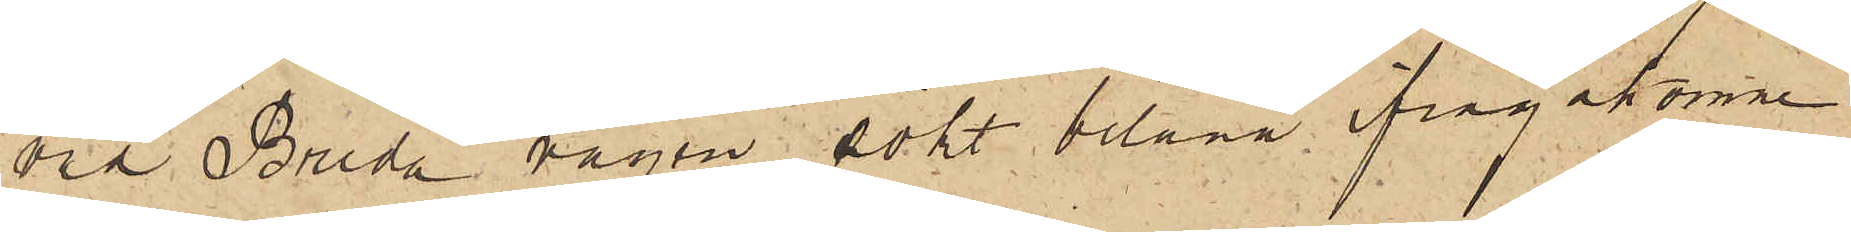vid Breda vägen sökt belåna ifrågakomne
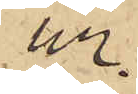ur.
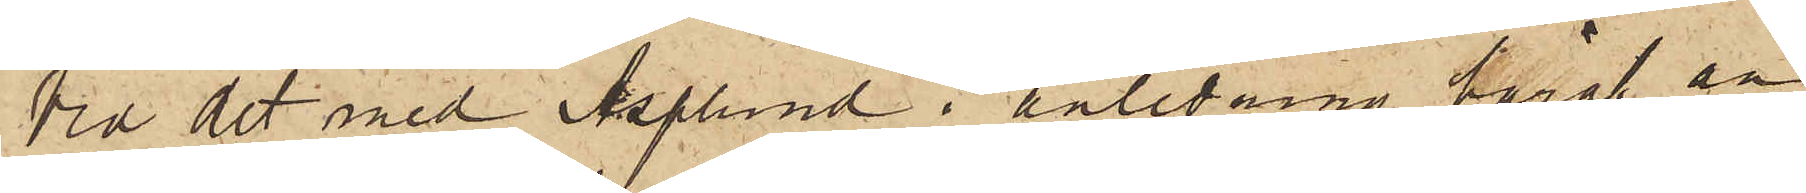Vid det med Asplund i anledning häraf an¬
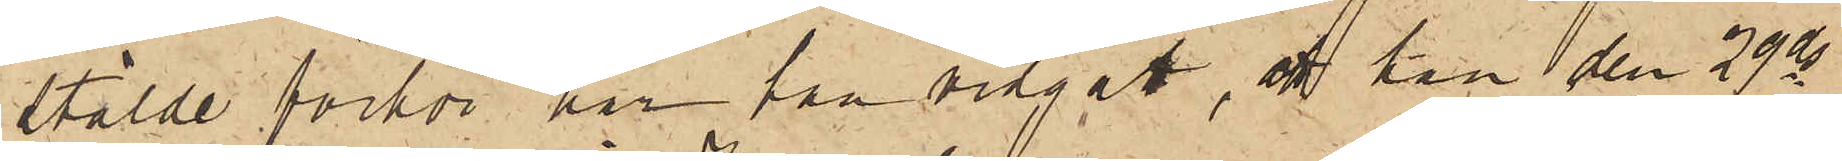stälde förhör har han vidgått, att han den 29 ds
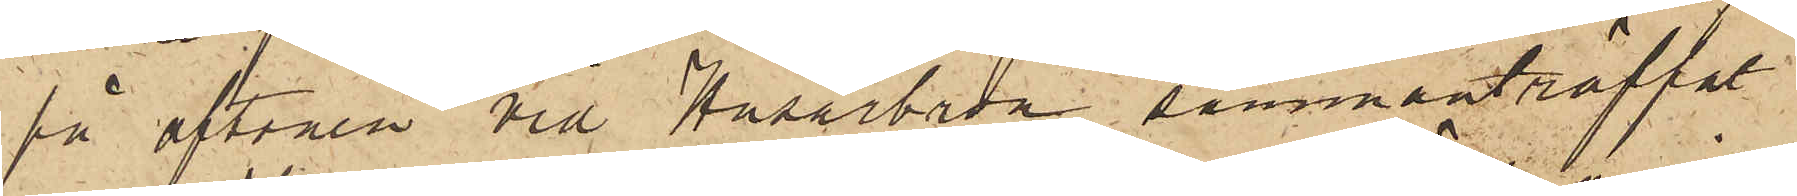på aftonen vid Husarbron sammanträffat
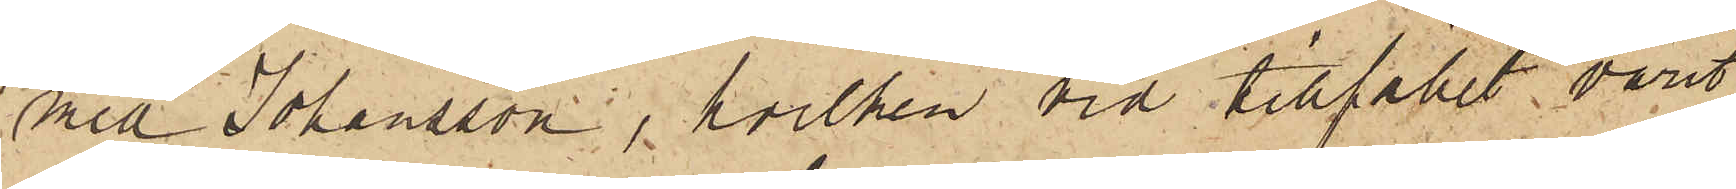med Johansson, hvilken vid tillfället varit
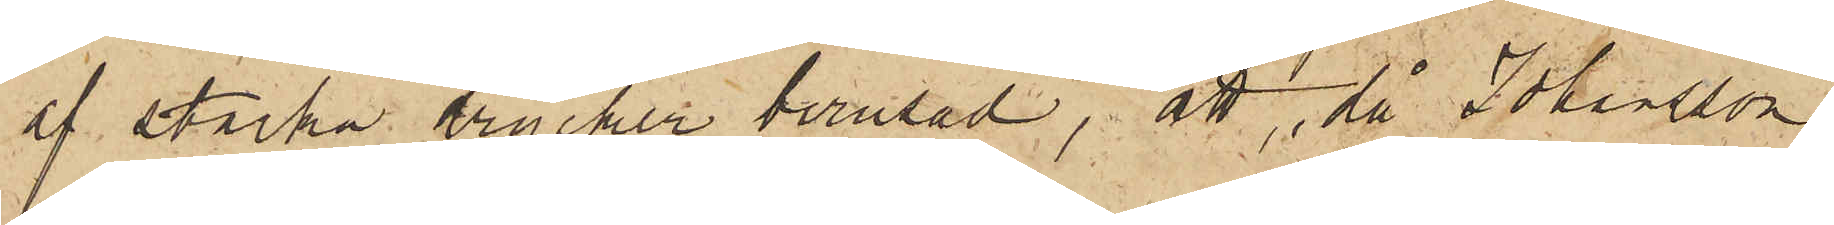af starka drycker berusad, att, då Johansson
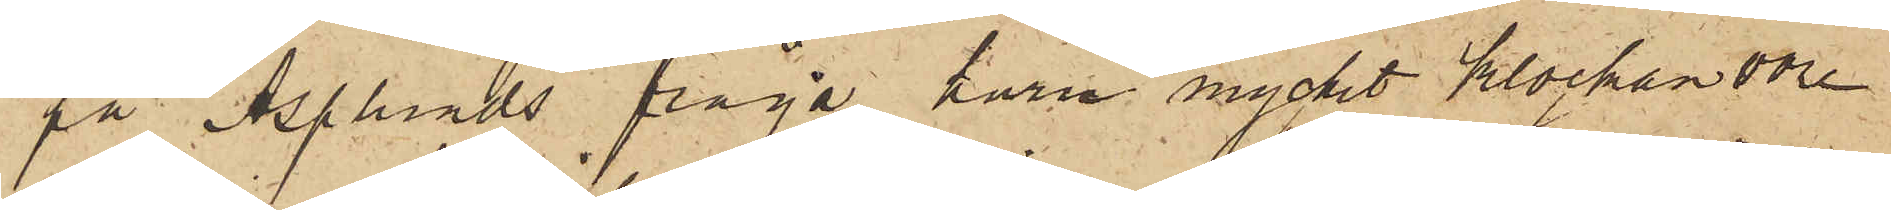på Asplunds fråga huru mycket klockan vore
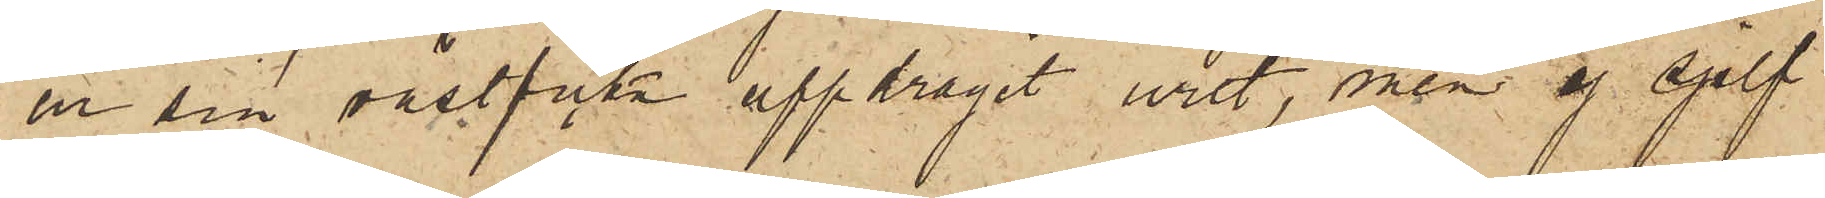ur sin västficka uppdragit uret, men ej sjelf
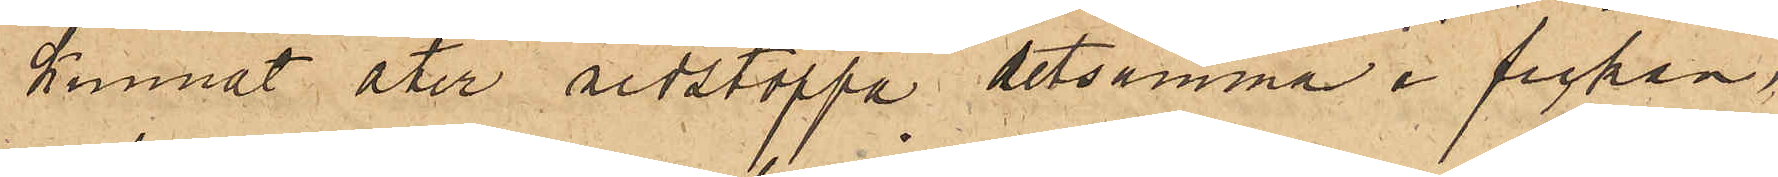kunnat åter nedstoppa detsamma i fickan.
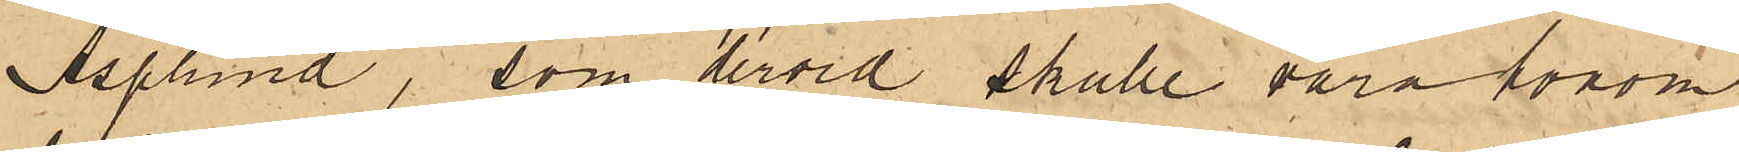Asplund, som dervid skulle vara honom
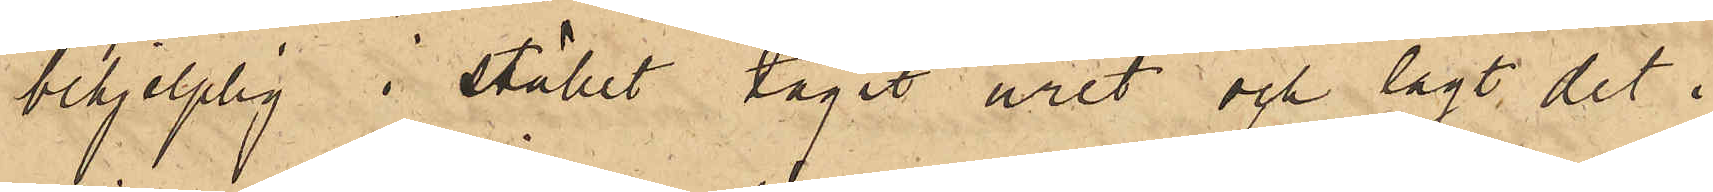behjelplig i stället tagit uret och lagt det i
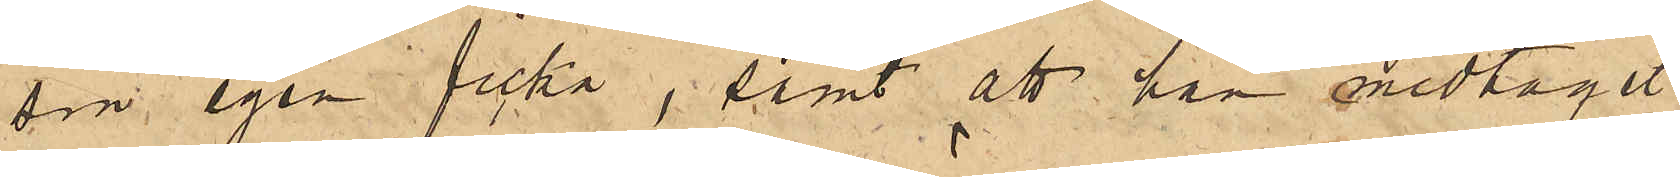sin egen ficka, samt att han medtagit
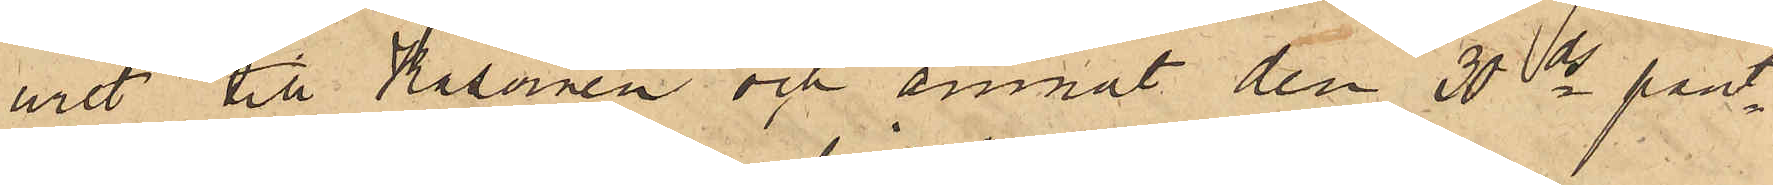uret till Kasernen och ämnat den 30 ds pant¬
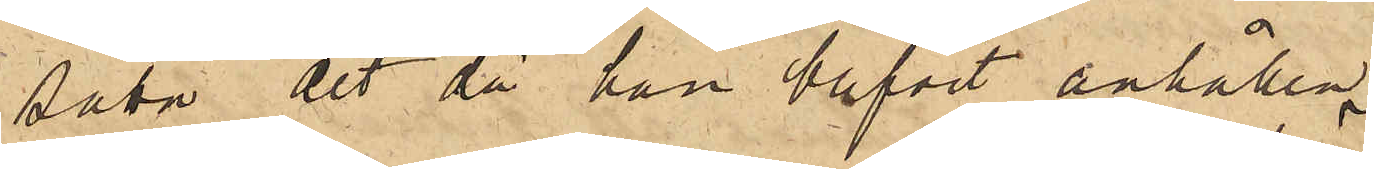sätta det då han blifvit anhållen.
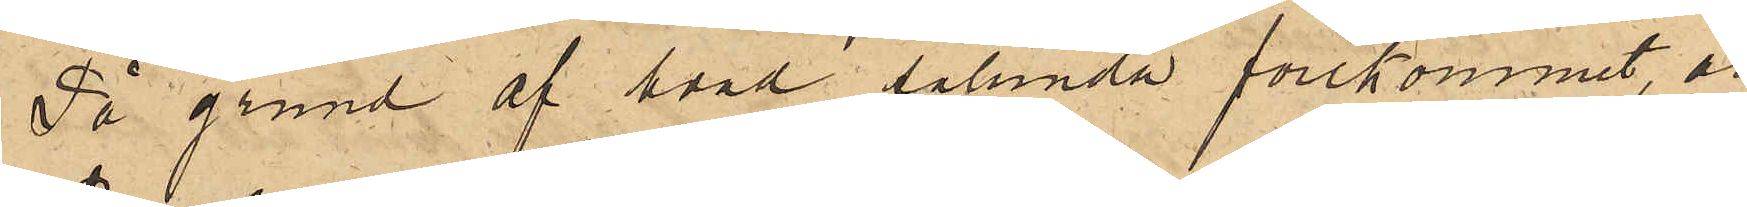På grund af hvad sålunda förekommit är
